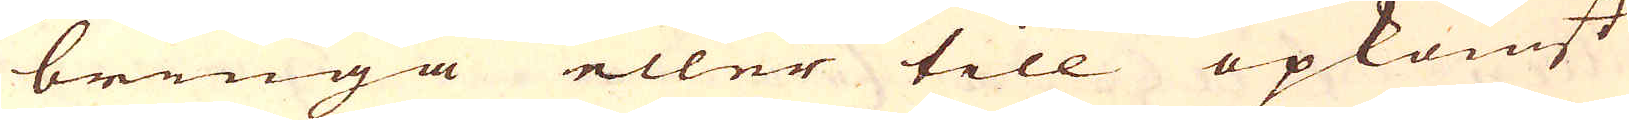bringa eller till opkomst
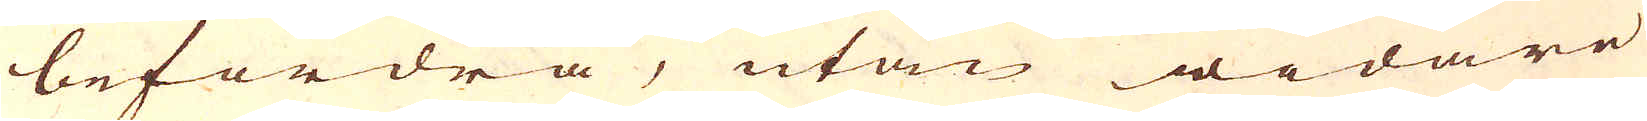befordra, utan widare
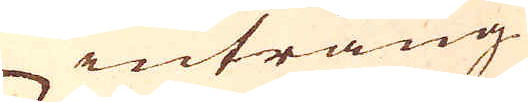intrång
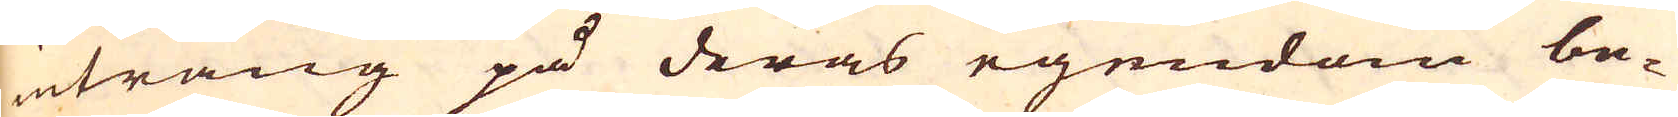intrång på deras egendom be-
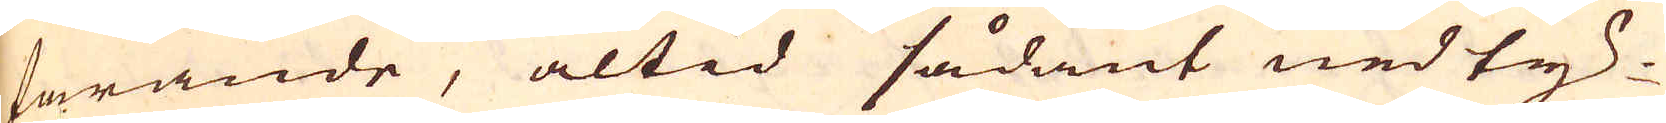farande, altid sådant nedty-
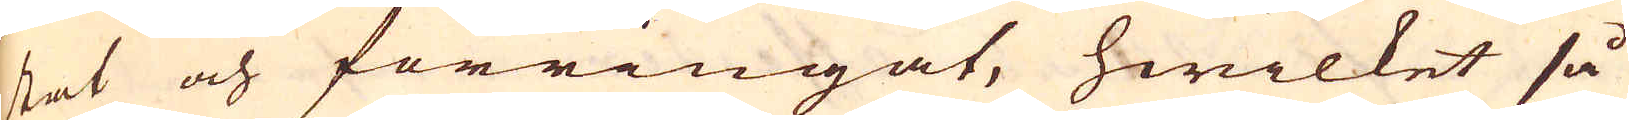stat och förringat, hwilket så
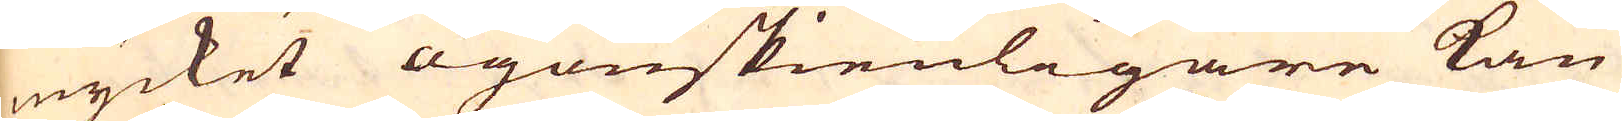mycket ögonskienligare kan
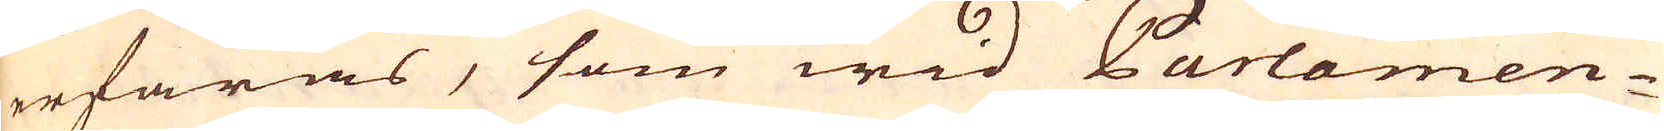erfaras, som wid Parlamen-
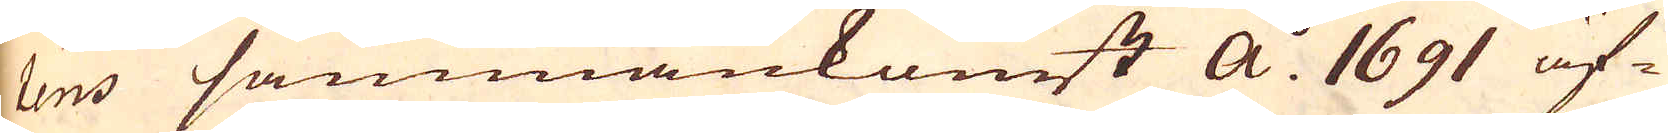tens sammankomst a:o 1691 äf-
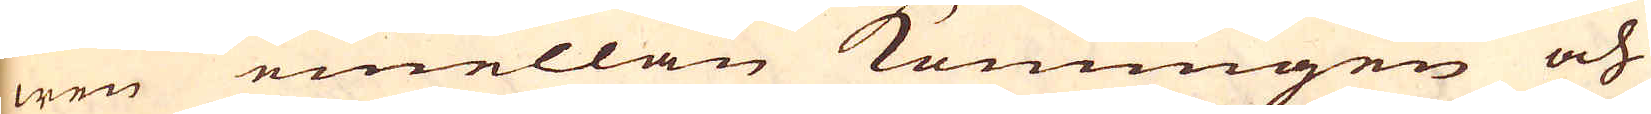wen emellan Konungen och
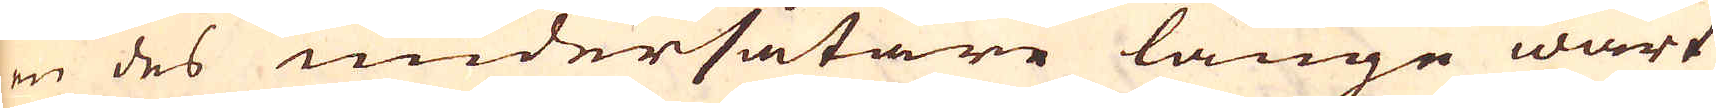en des undersåtare länge wart
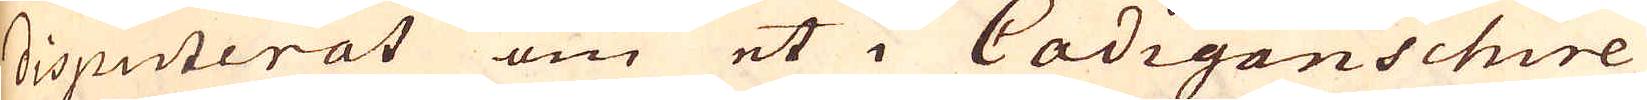disputerat om et i Cadiganschire
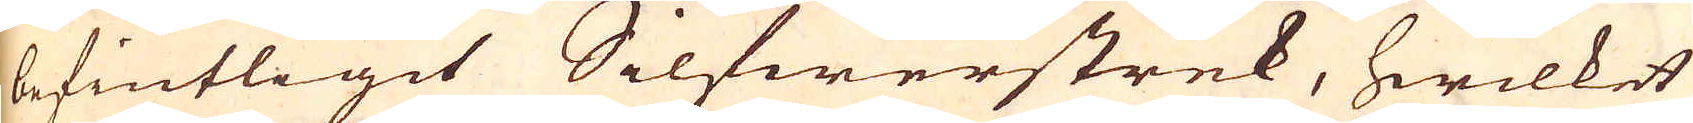befintligit Silfwerstrek, hwilket
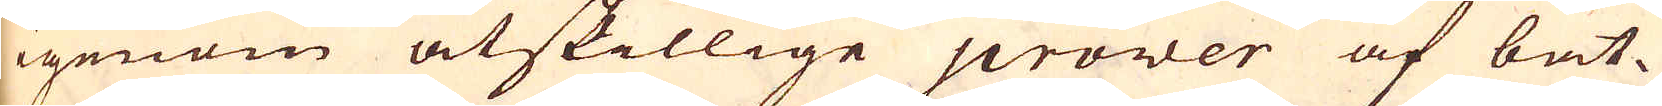igenom åtskillige prover af bät-
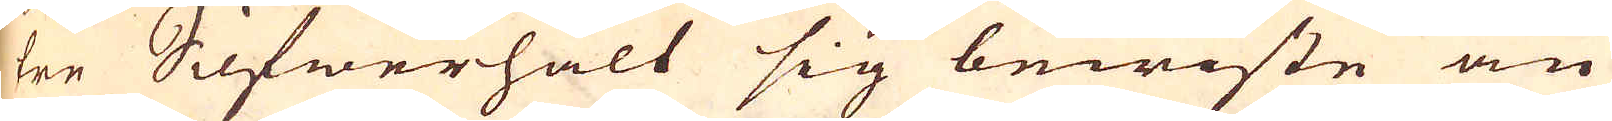tre Silfwerhalt sig bewiste än
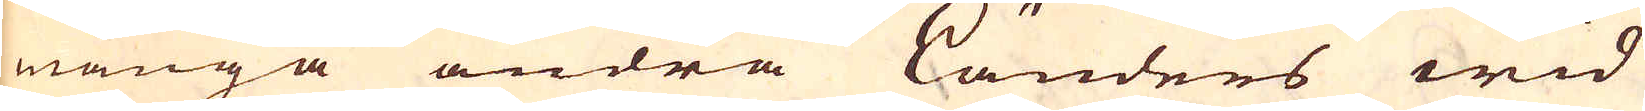många andra Länders wid
